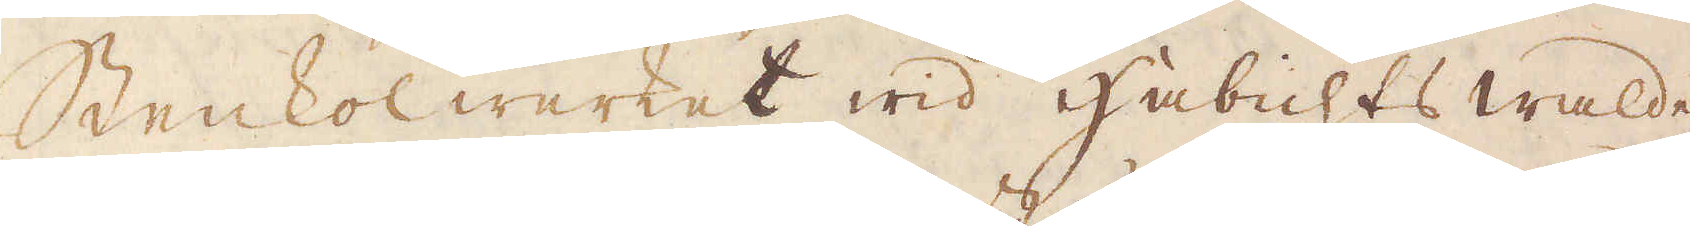Stenkolwerket wid Habichts walde,
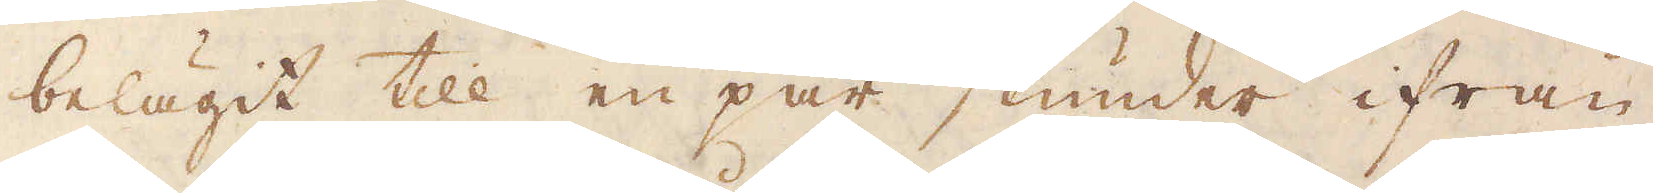belägit till en par stunder ifrån
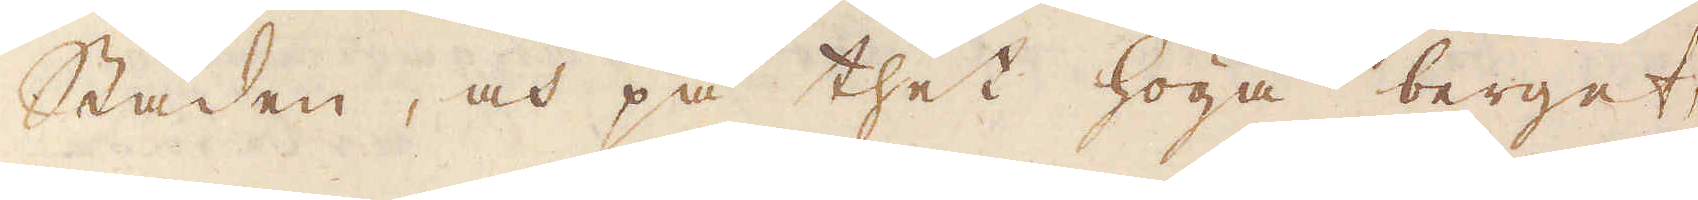Staden, och på thet höga berget,
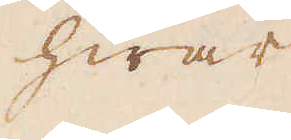hwar
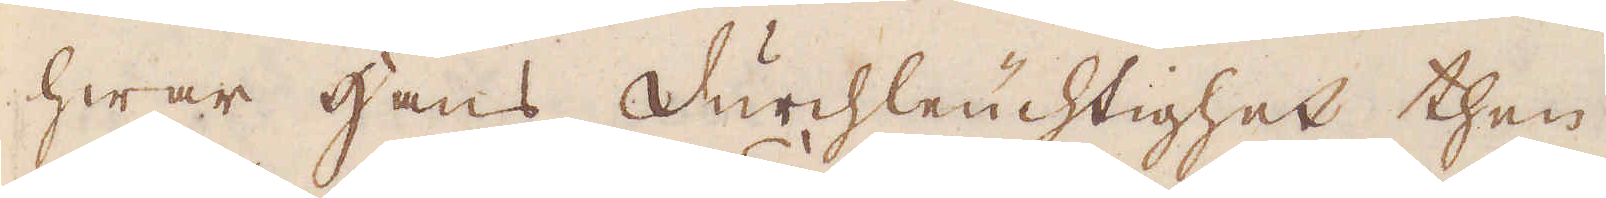hwar Hans Durchleuchtighet then
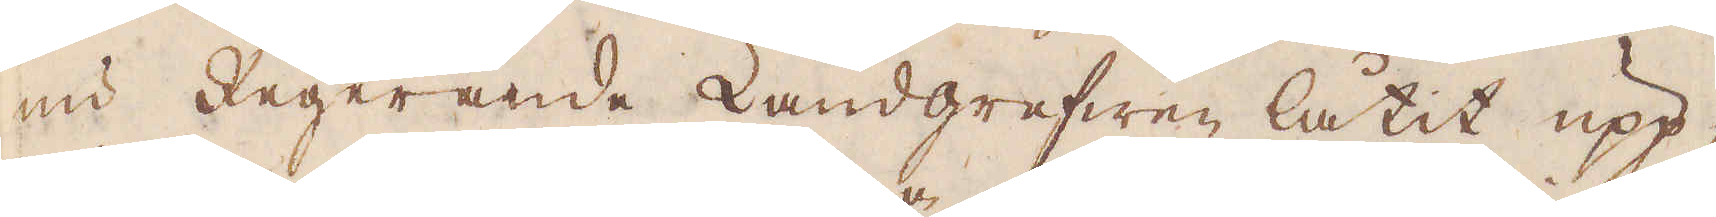nu Regerande Landgrefwen låtit upp-
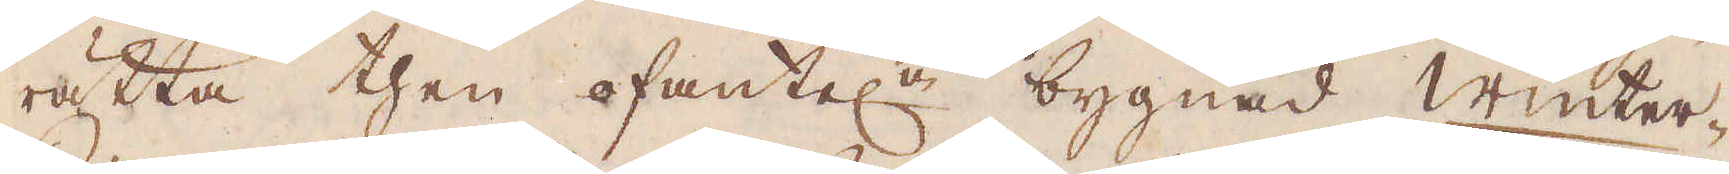rätta then ofantel:e bygnad Winter-
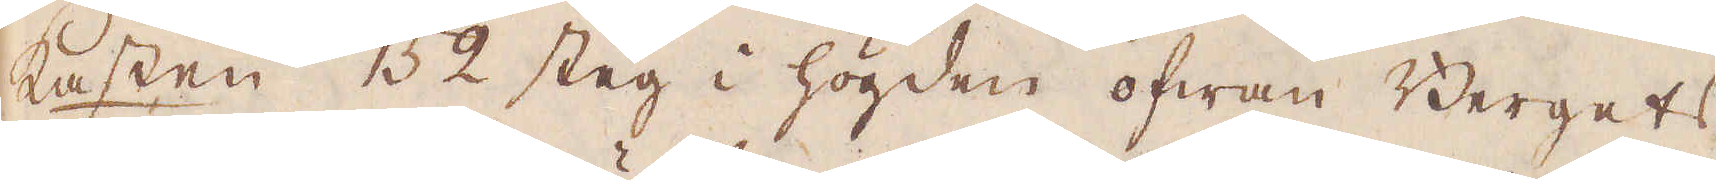kasten 152 steg i högden ofwan Bergets
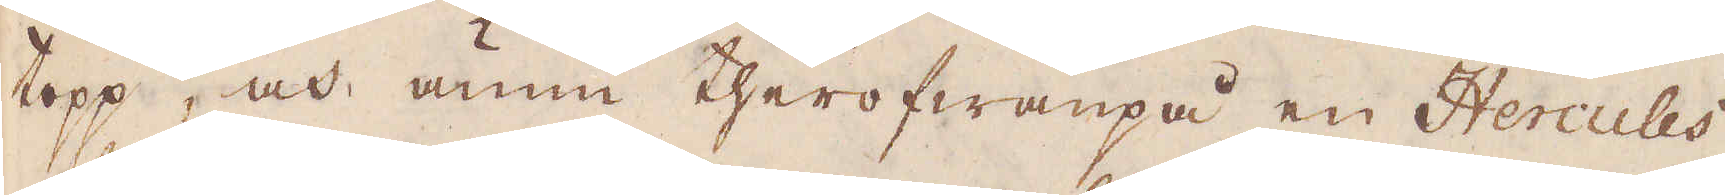topp, och ännu therofwanpå en Hercules
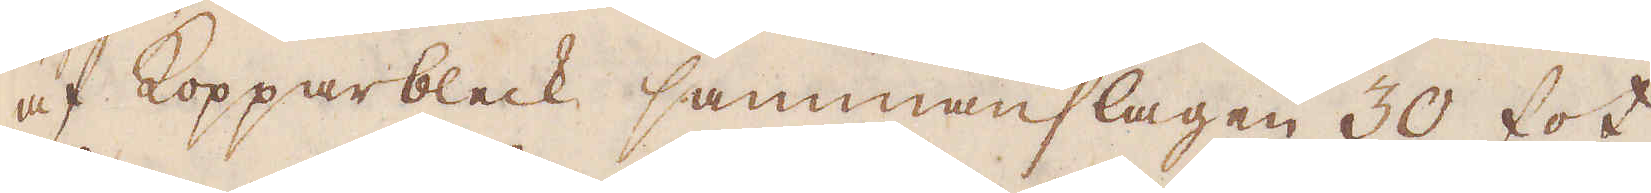af Kopparbleck sammanslagen 30 fot
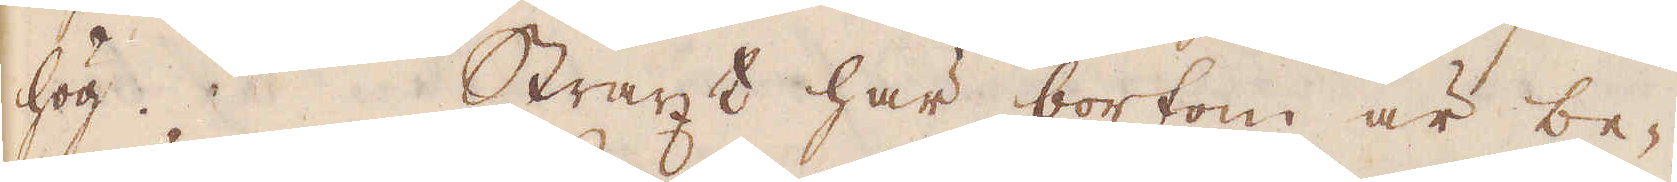hög. Straxt här bortom är be-
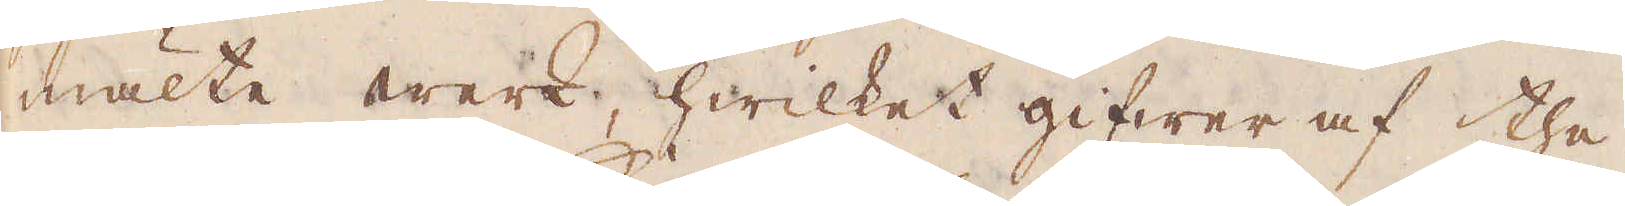mälte werk, hwilket gifwer af the
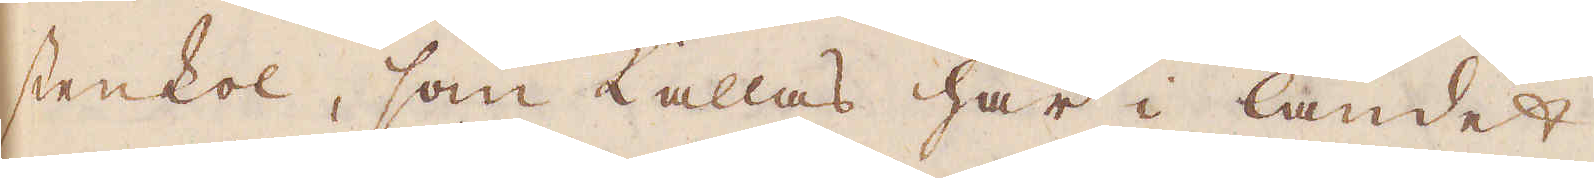stenkol, som kallas här i landet
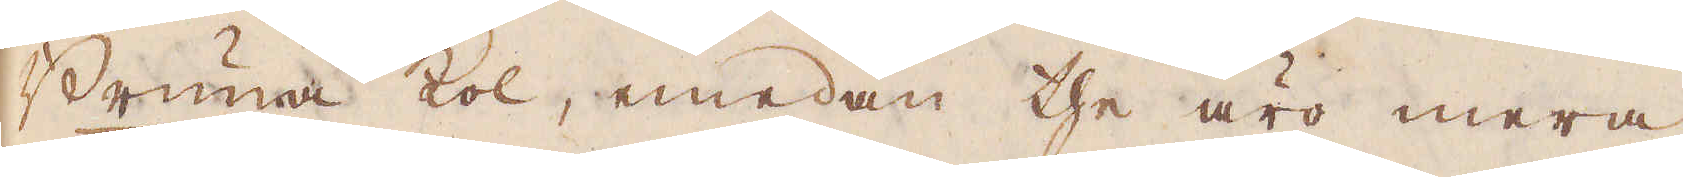Bruna kol, emedan the äro mera
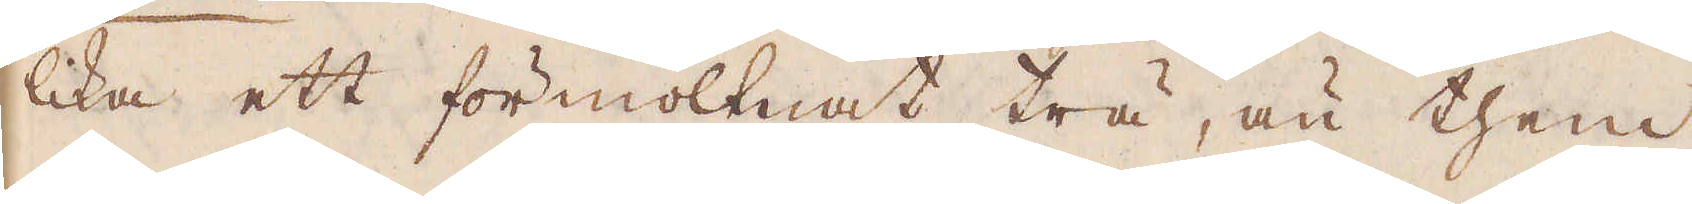lika ett förmoltnat trä, än them
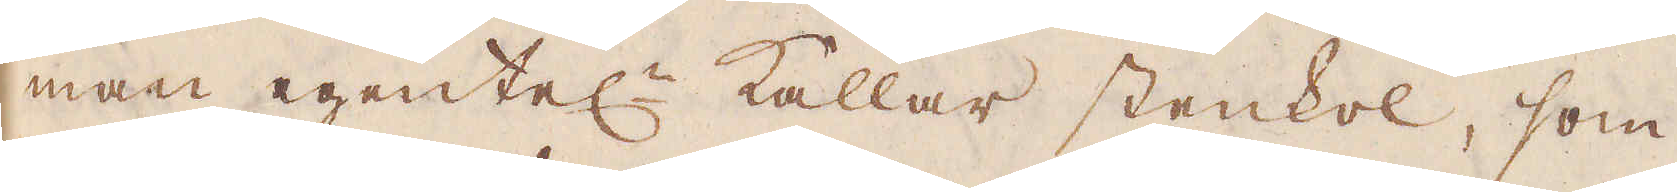man egentel:n kallar stenkol, som
